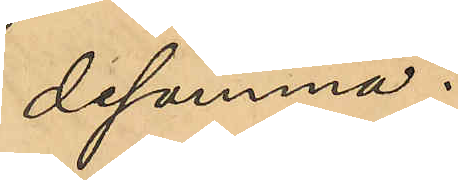desamma.
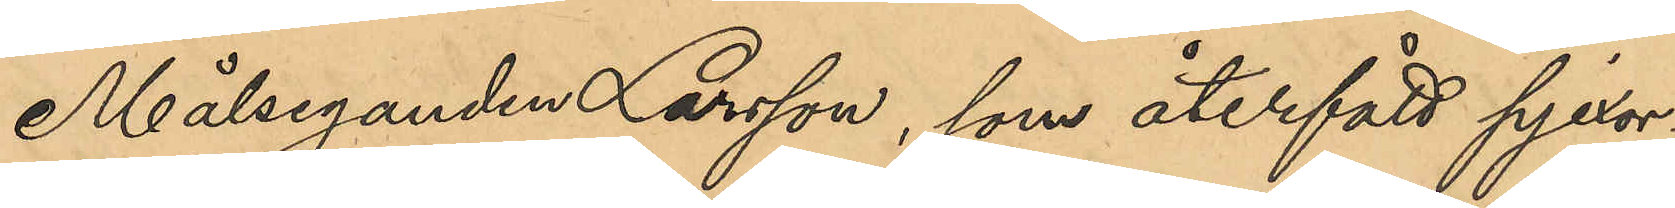Målseganden Larsson, som återfått pjexor-
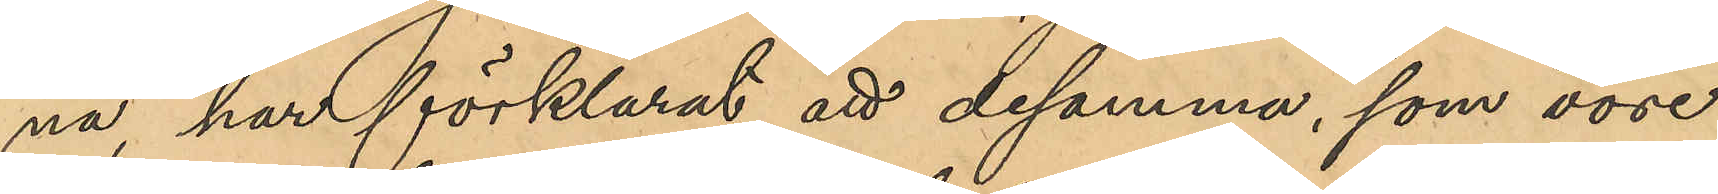na, har förklarat att desamma, som vore
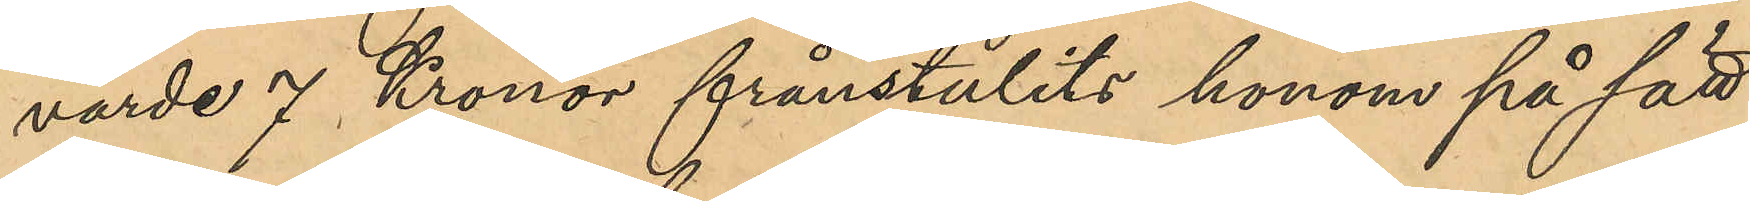värde 7 Kronor frånstulits honom på sätt
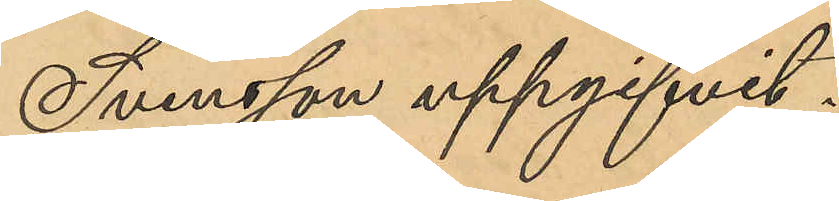Svensson uppgifvit.
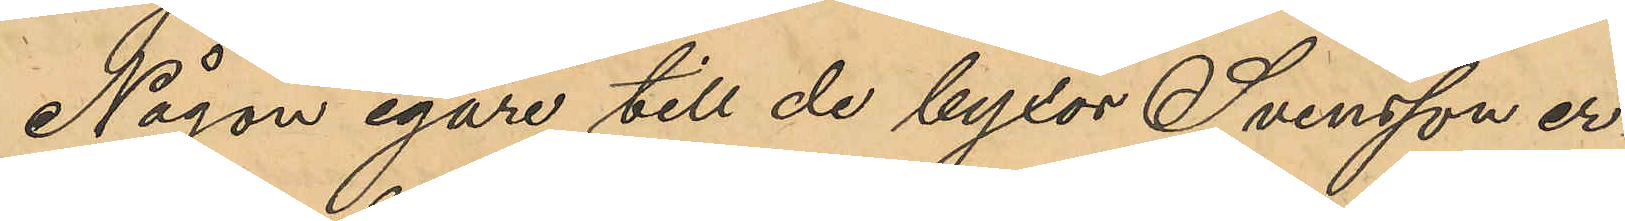Någon egare till de byxor Svensson er¬
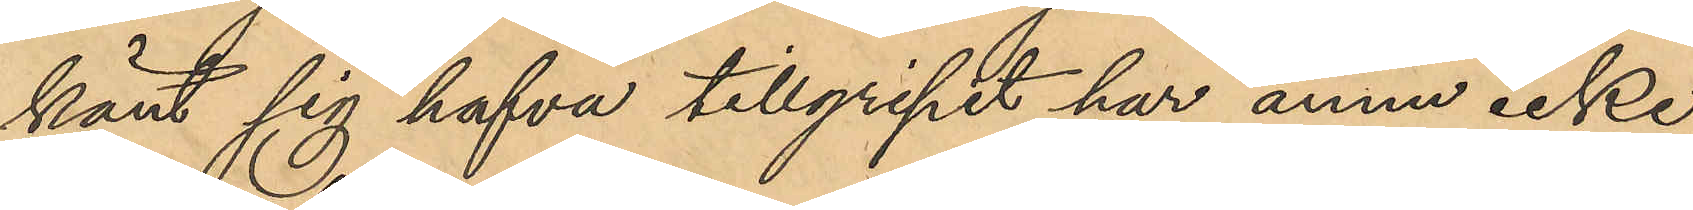känt sig hafva tillgripit har ännu icke 
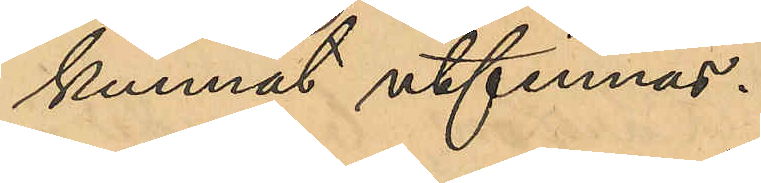kunnat utfinnas.
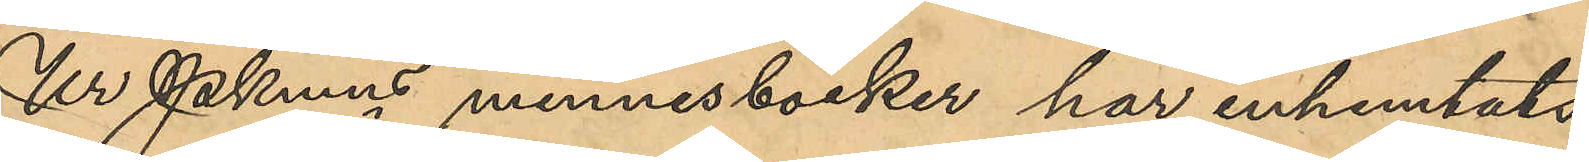Ur Pkmns minnesböcker har inhemtats
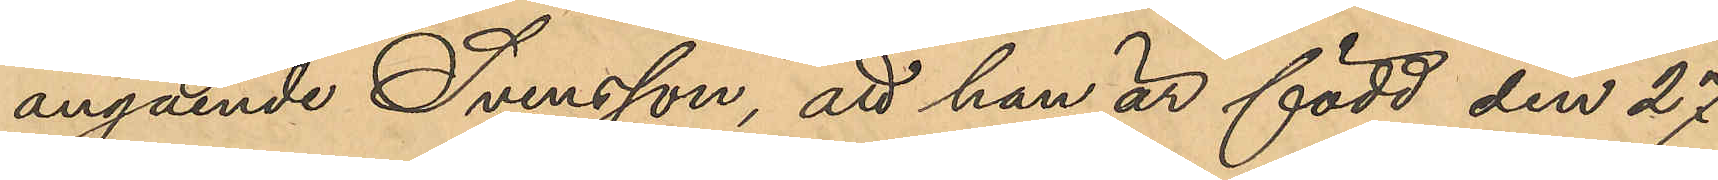angående Svensson, att han är född den 27
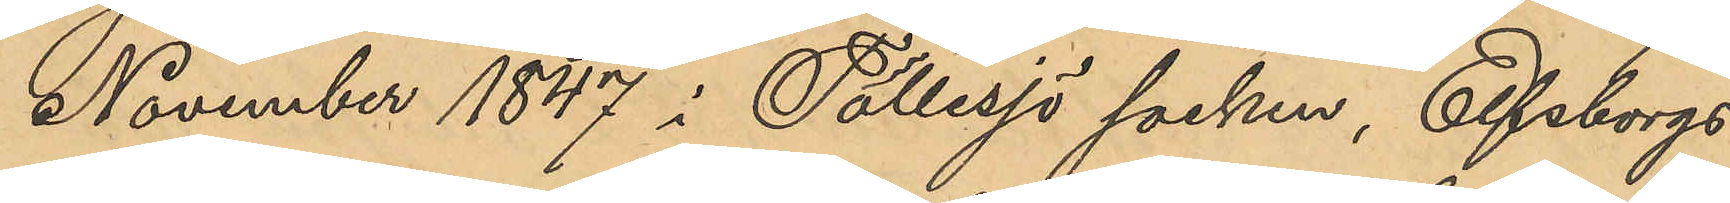November 1847 i Tollesjö socken, Elfsborgs
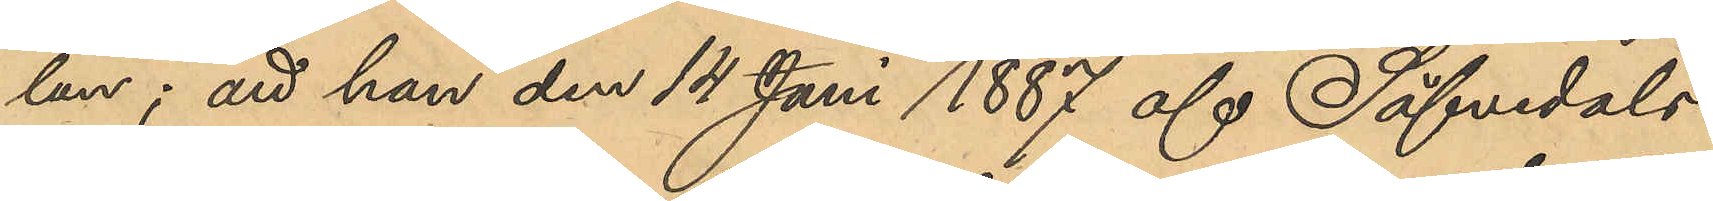län; att han den 14 Juni 1887 af Säfvedals
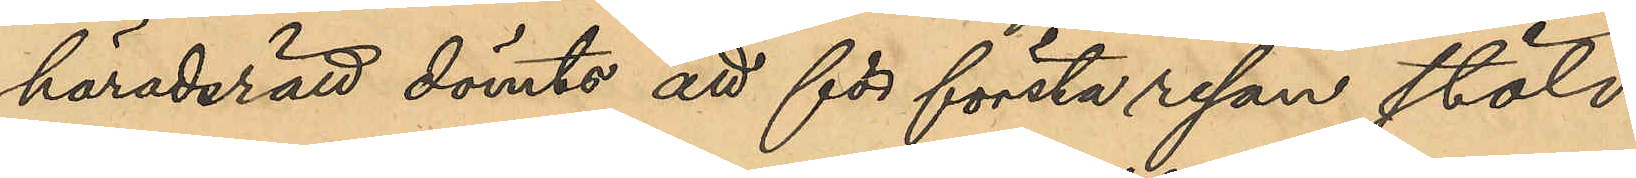häradsrätt dömts att för första resan stöld
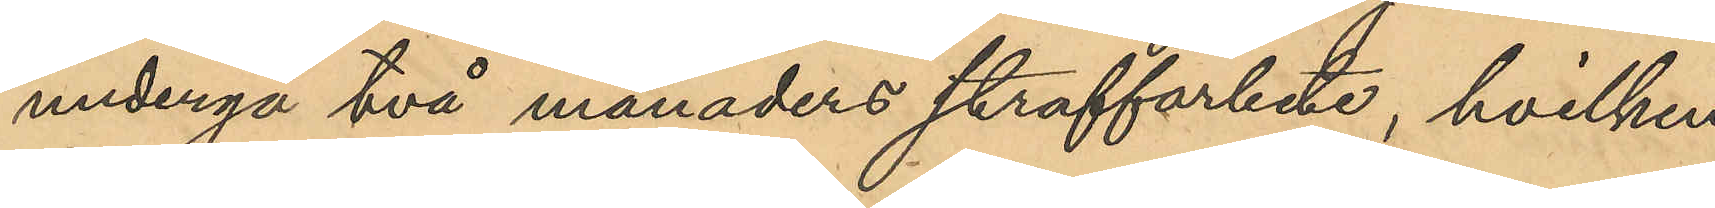undergå två månaders straffarbete, hvilken
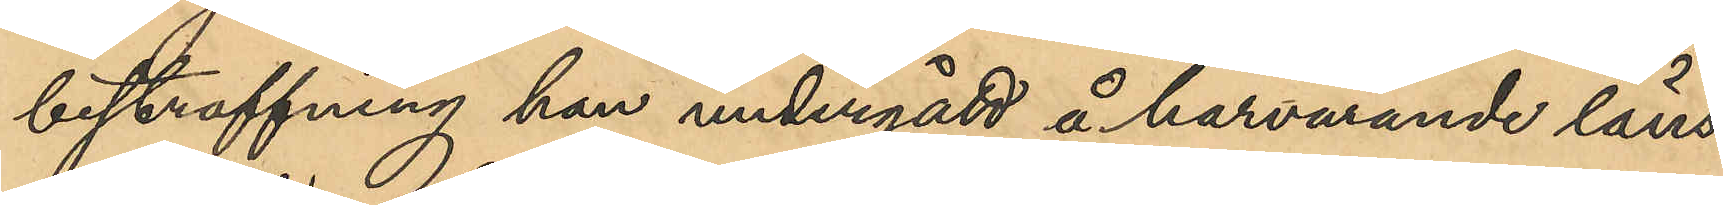bestraffning han undergått å härvarande läns¬
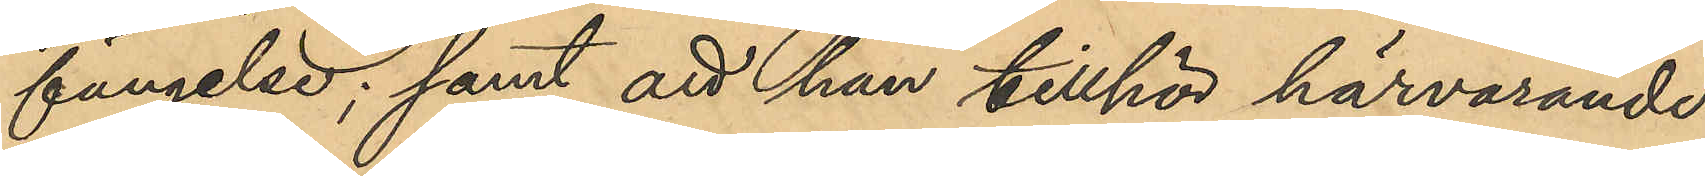fängelse; samt att han tillhör härvarande
